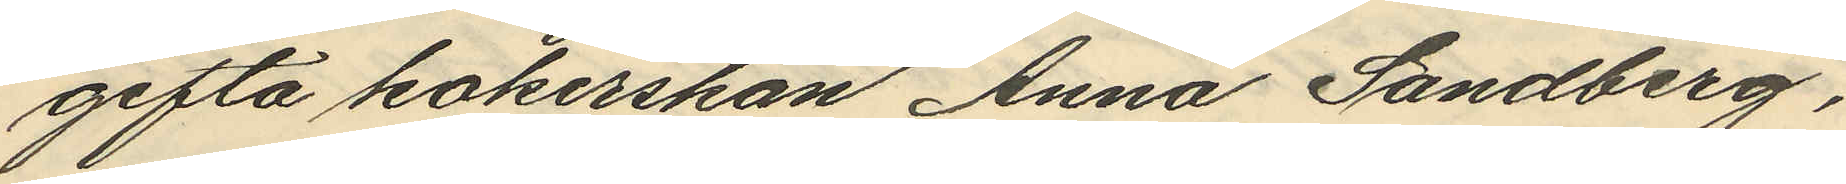gifta kokerskan Anna Sandberg,
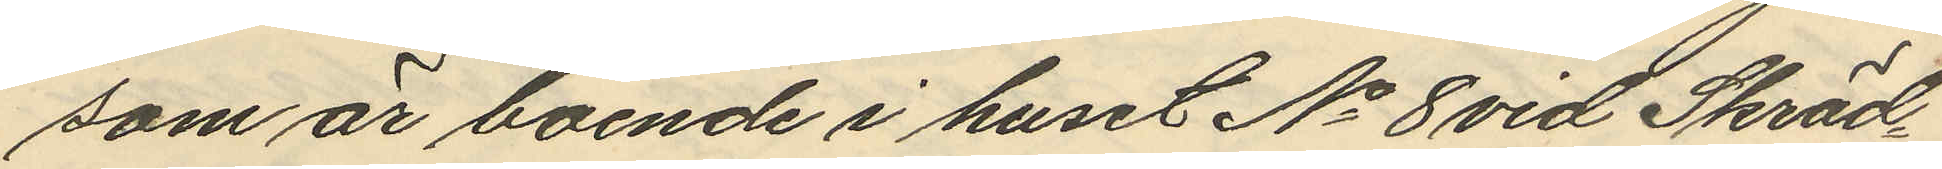som är boende i huset No 8 vid Skräd¬
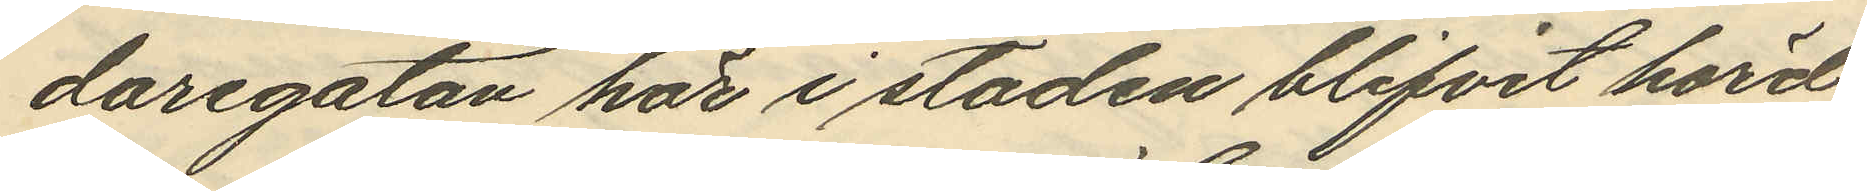daregatan här i staden blifvit hörd
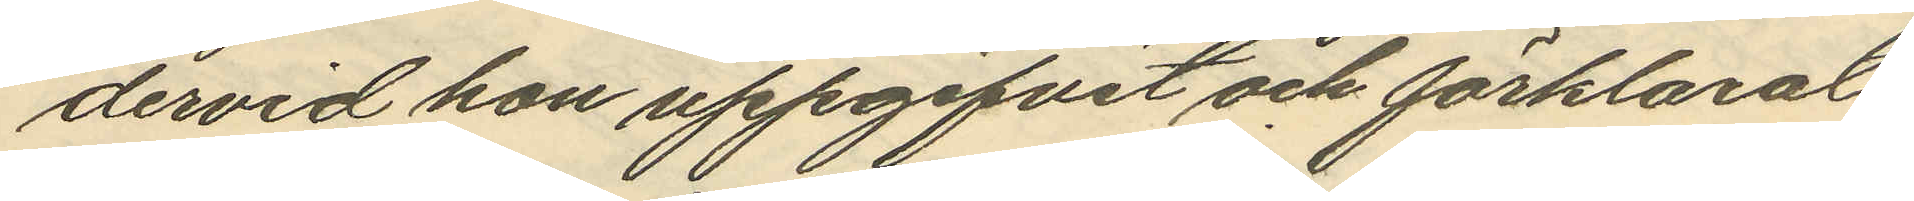dervid hon uppgifvit och förklarat,
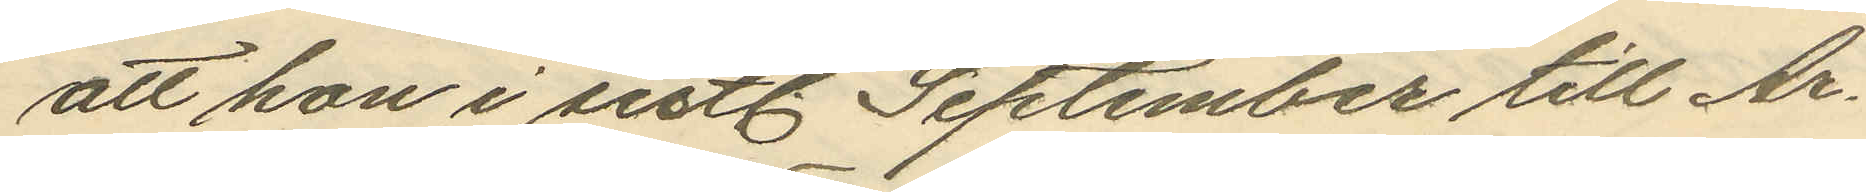att hon i sistl September till Ar¬
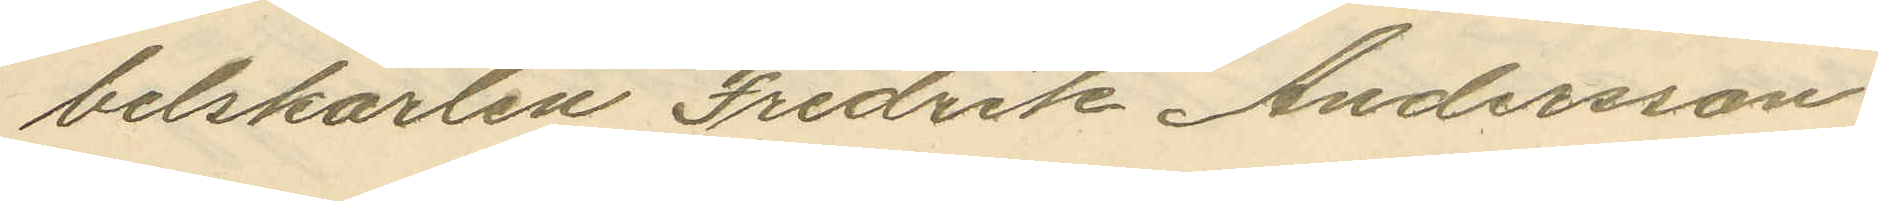betskarlen Fredrik Andersson
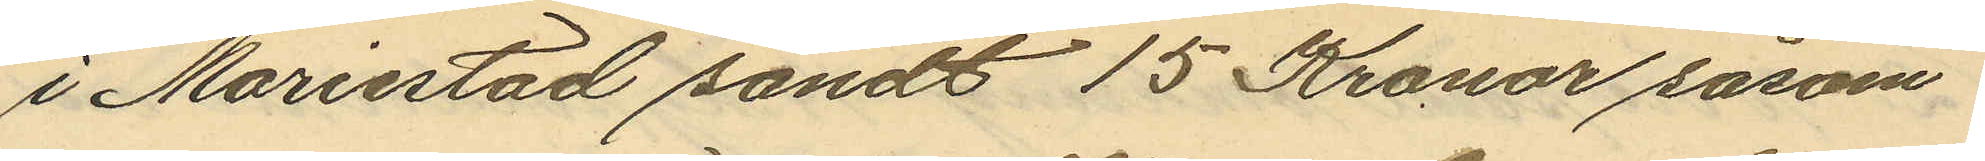i Mariestad sändt 15 Kronor såsom
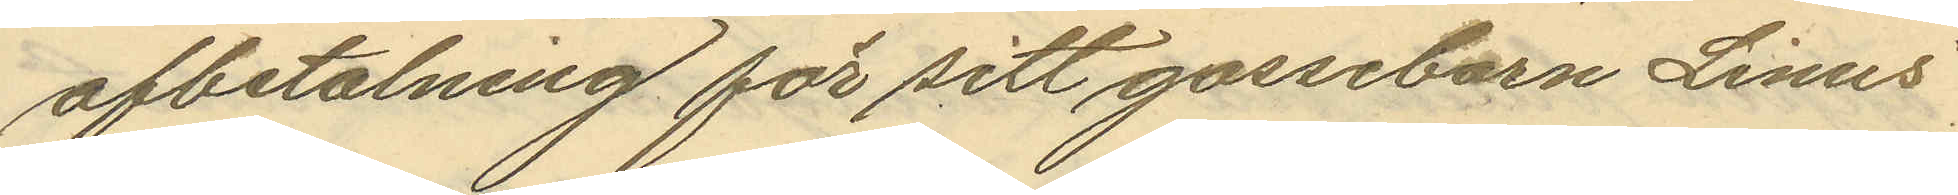afbetalning för sitt gossebarn Linus'
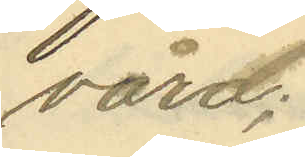vård;
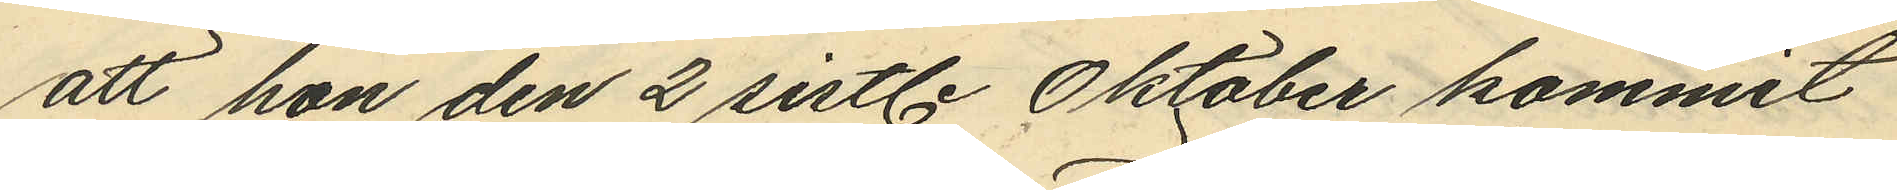att hon den 2 sistl. Oktober kommit
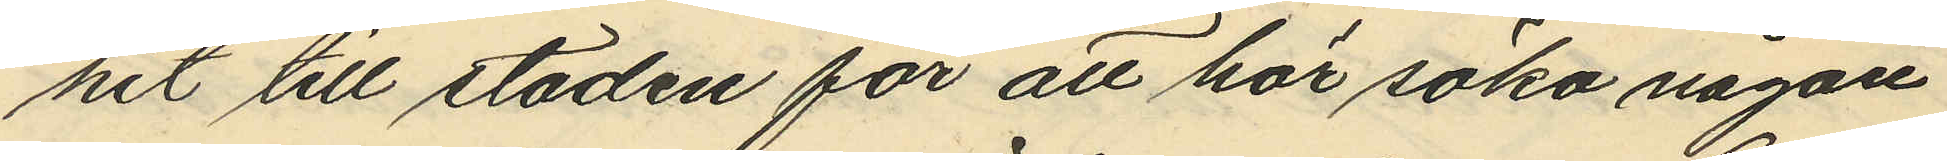hit till staden för att här söka någon
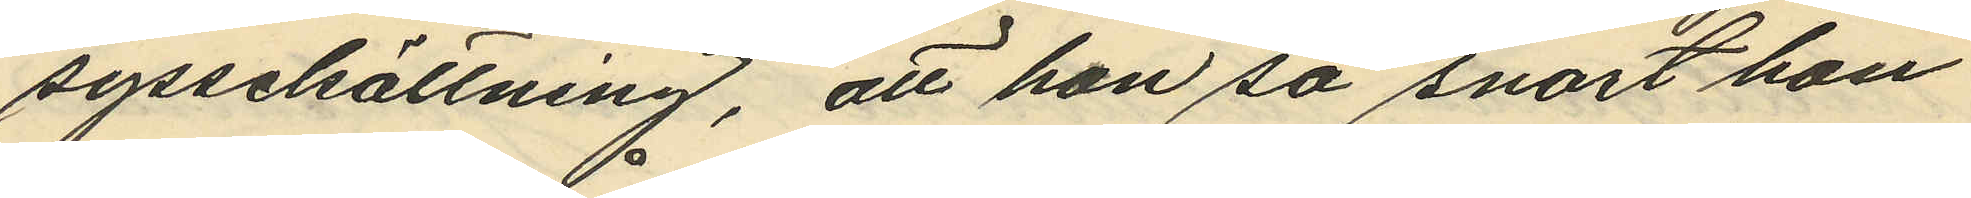sysselsättning, att hon så snart hon
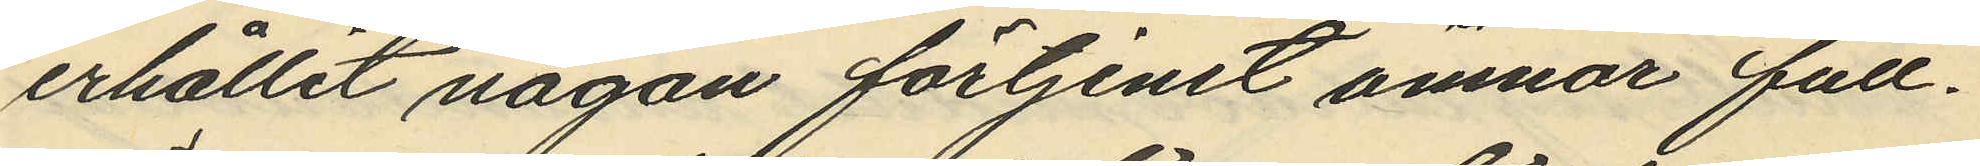erhållit någon förtjenst ämnar full¬
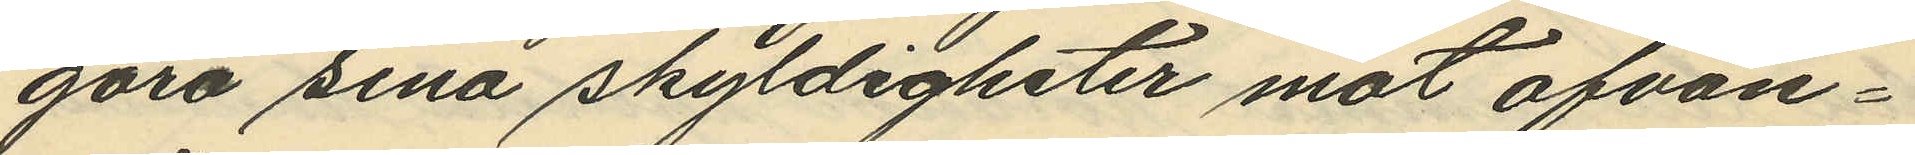göra sina skyldigheter mot ofvan¬
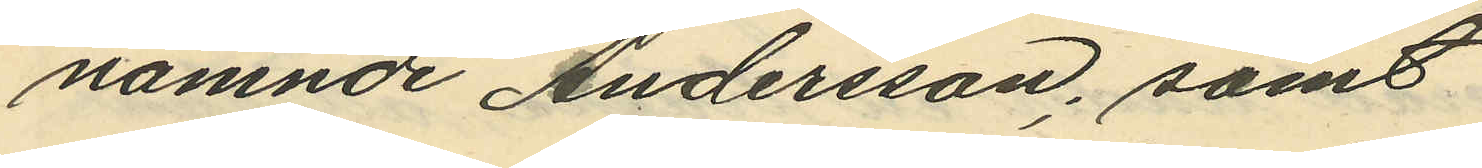nämnde Andersson; samt
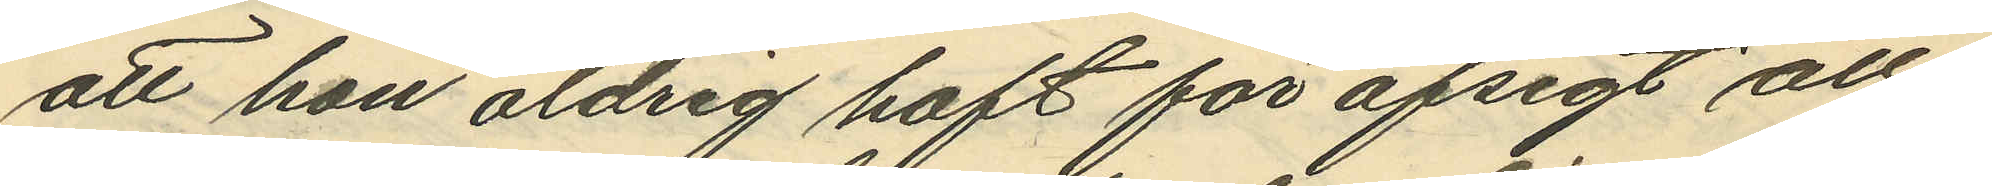att hon aldrig haft för afsigt att
